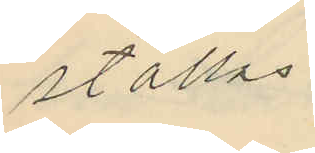ställas.
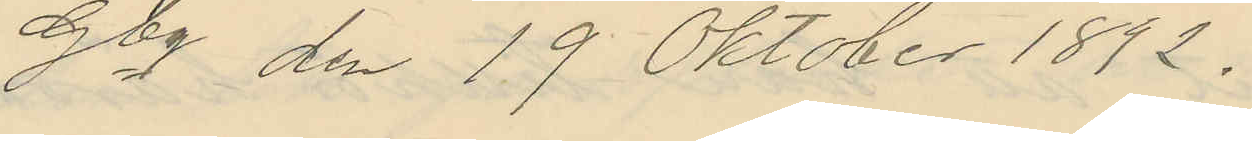Gbg den 19 Oktober 1892.
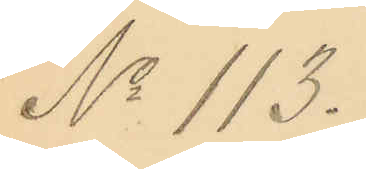No 113.
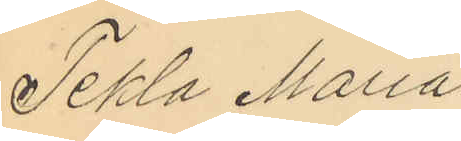Tekla Maria
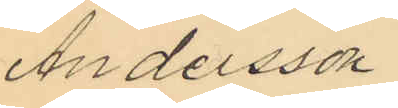Andersson.
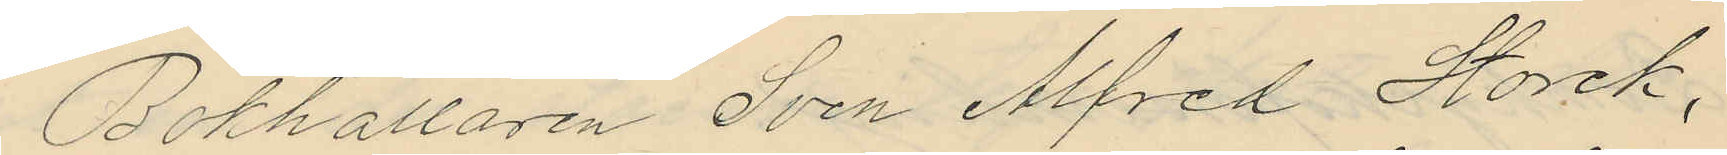Bokhållaren Sven Alfred Storck,
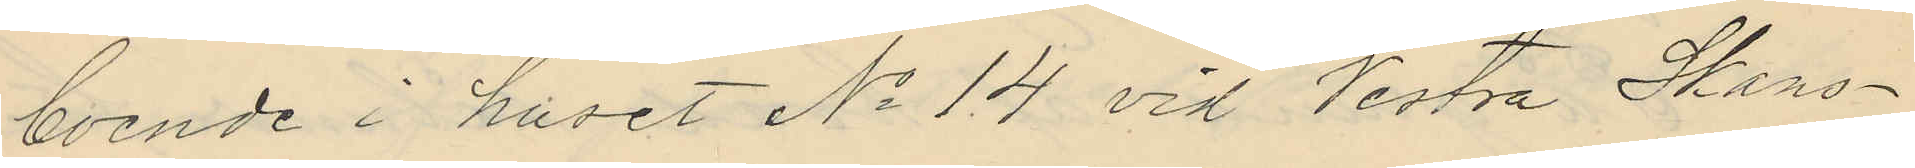boende i huset No 14 vid Vestra Skans¬
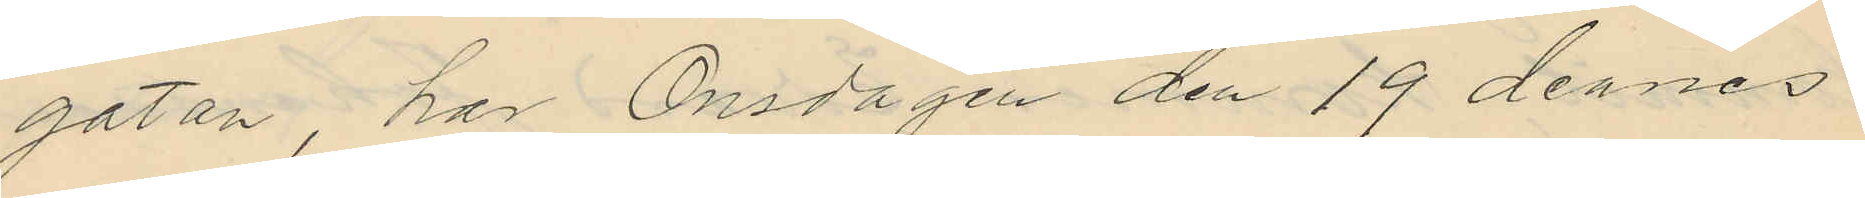gatan, har Onsdagen den 19 dennes
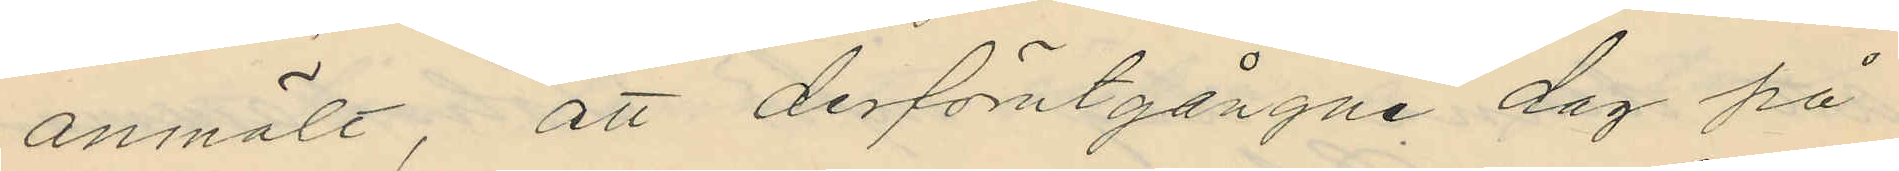anmält, att derförutgångne dag på
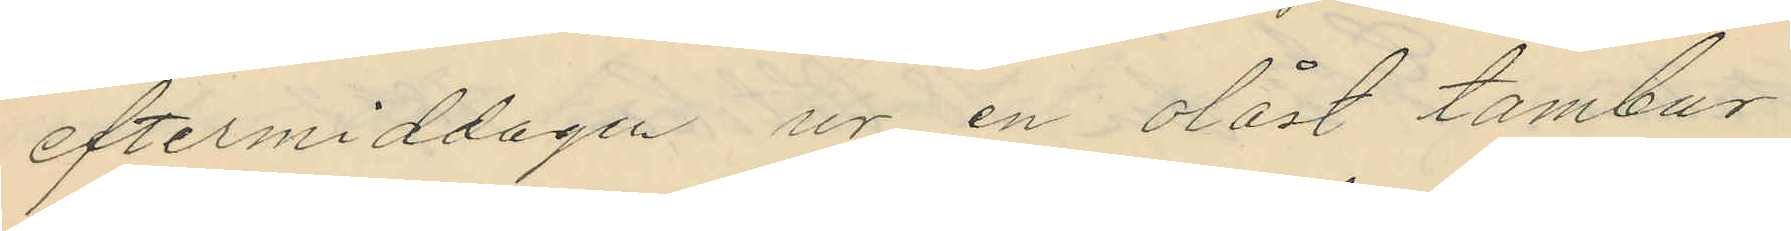eftermiddagen ur en olåst tambur
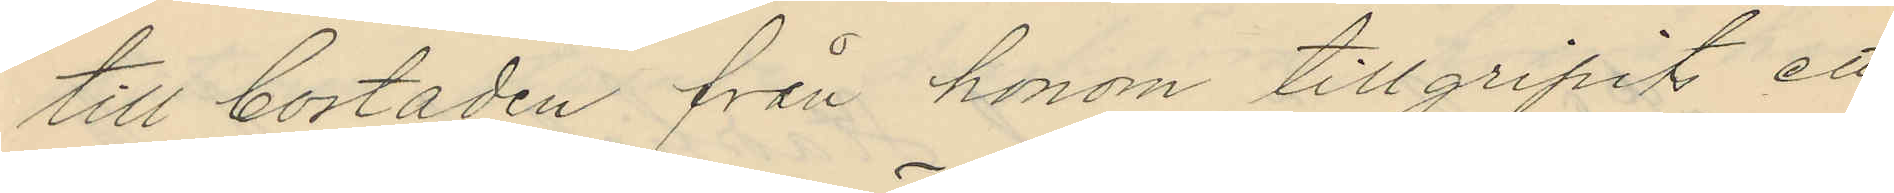till bostaden från honom tillgripits ett
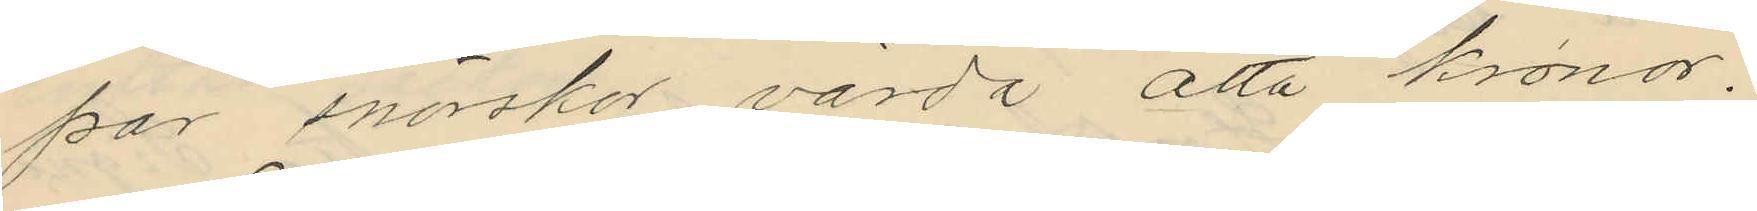par snörskor värda åtta kronor.
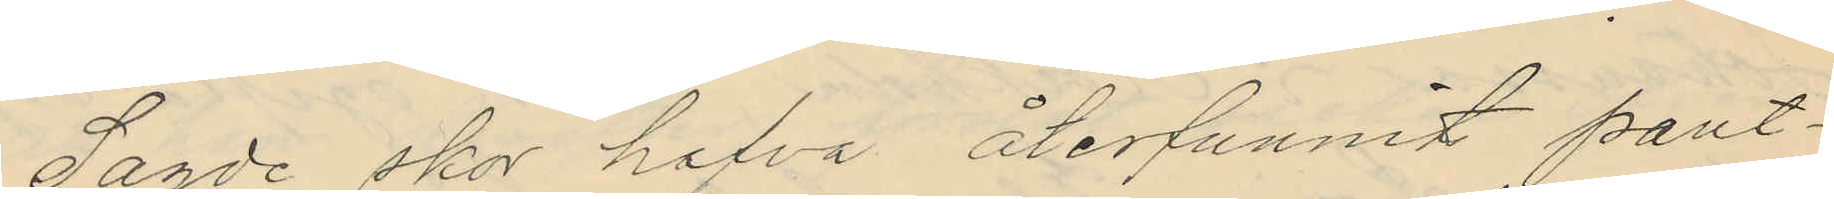Sagde skor hafva återfunnits pant¬
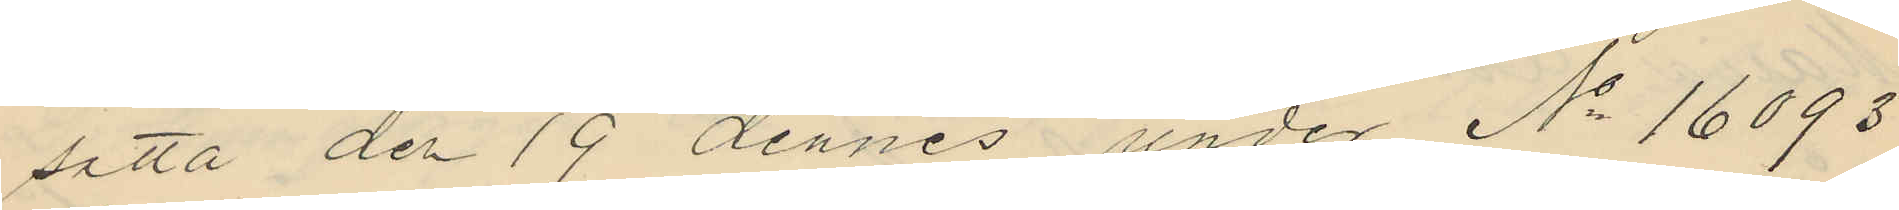satta den 19 dennes under No 16093
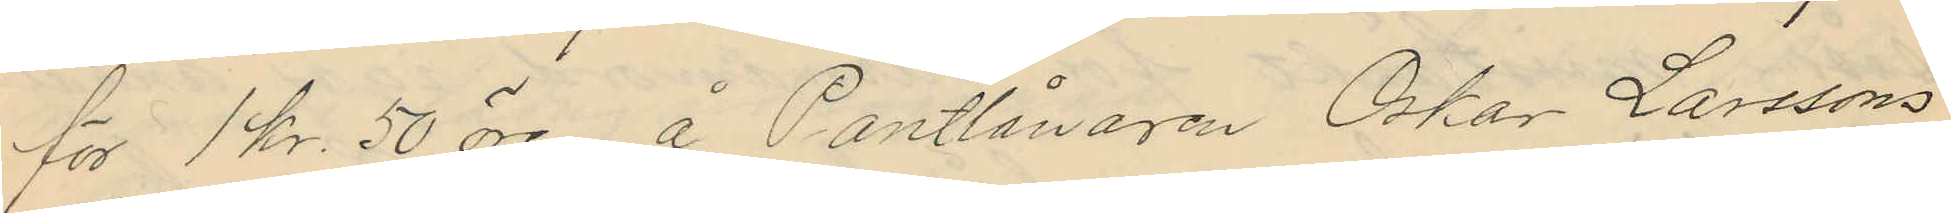för 1 kr. 50 öre å Pantlånaren Oskar Larssons
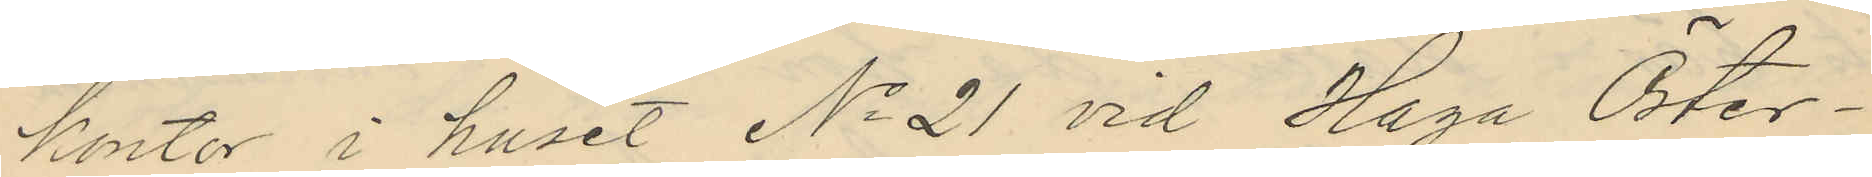kontor i huset No 21 vid Haga Öster¬
